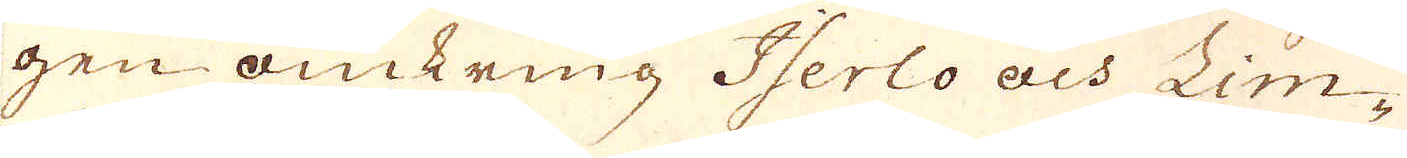gen omkring Iserlo och Lim-
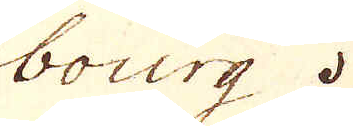bourg.
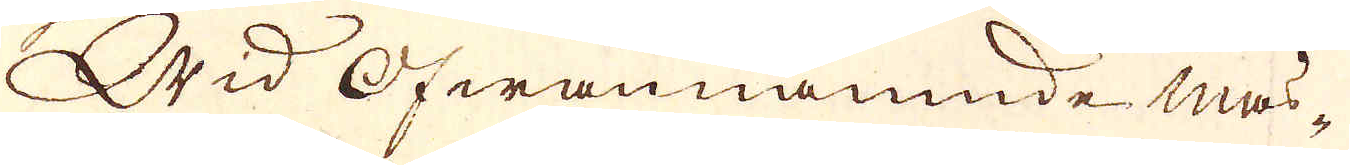Wid Ofwannämnde mas-
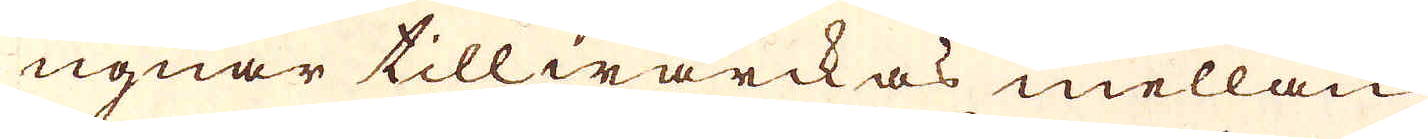ugnar tillwärckas mellan
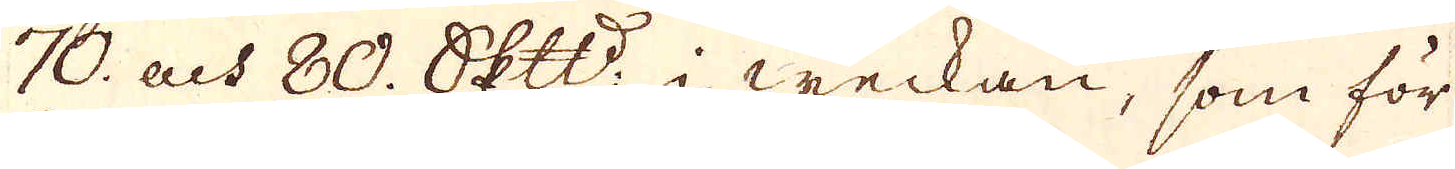70. och 80. skeppund i weckan, som för
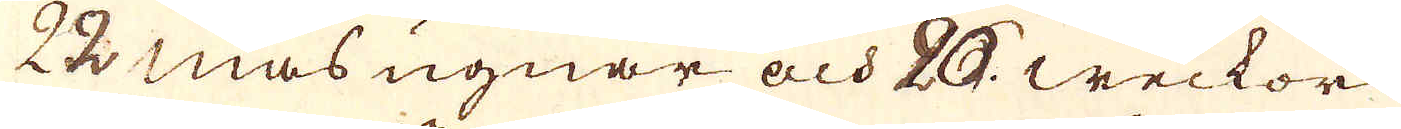25 masugnar och 20. weckor
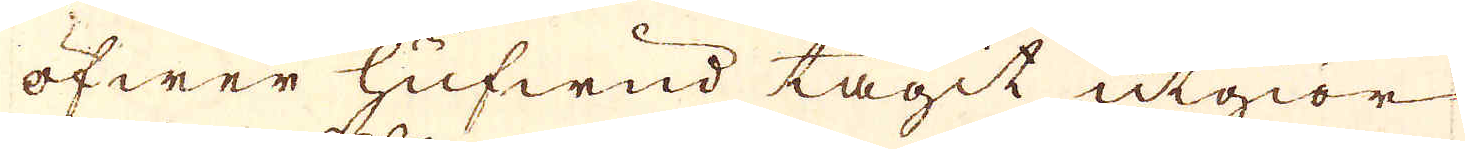öfwer hufwud tagit utgiör
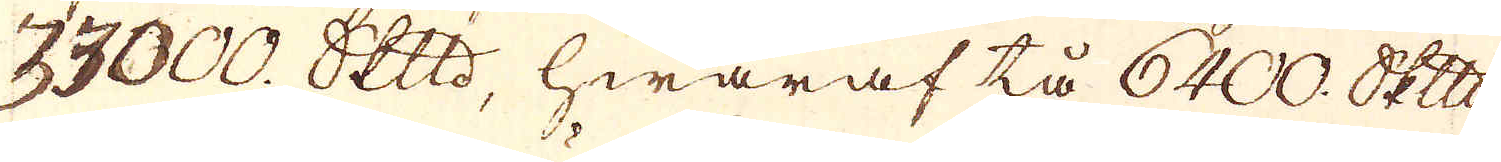33000. skeppund, hwaraf tå 6400. skeppund
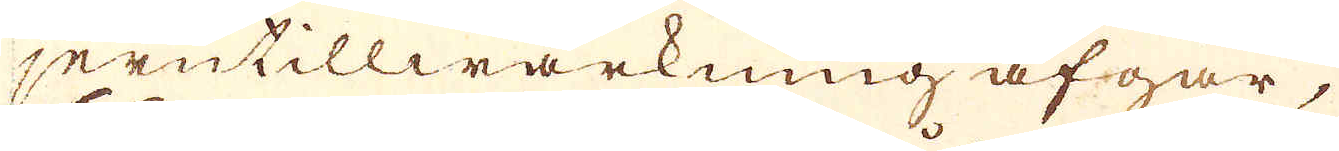jerntillwärkning afgår,
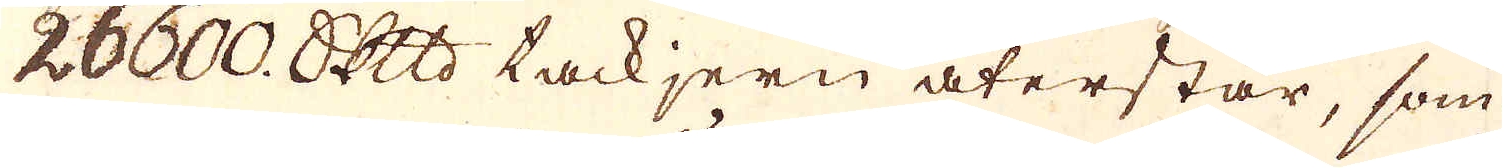26600. skeppund tackjern återstår, som
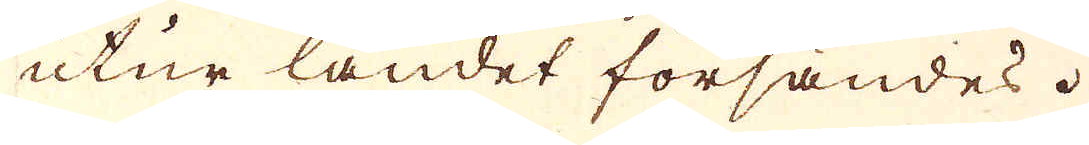utur landet försändes.
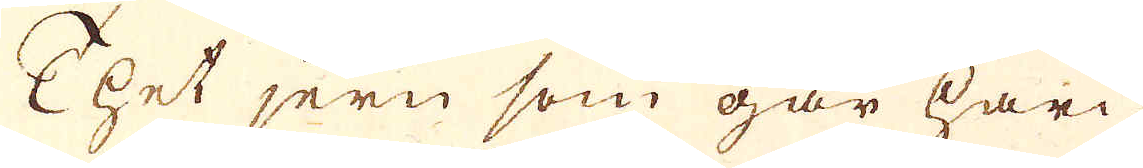Thet jern som går häri-
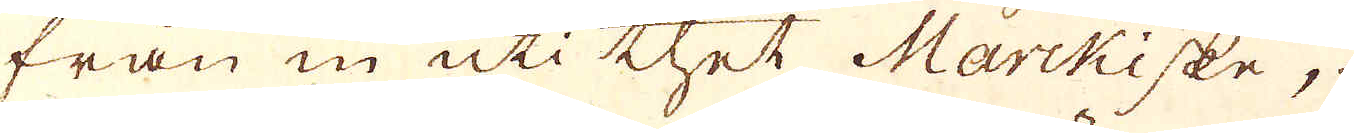från in uti thet Marckiske,
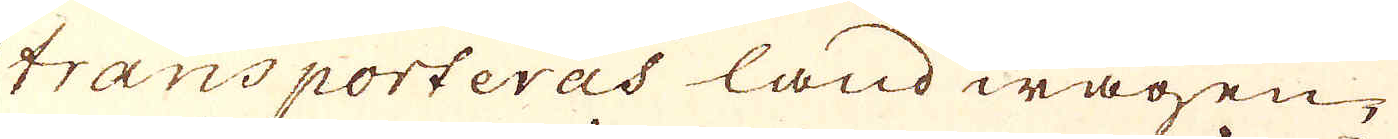transporteras land wägen,
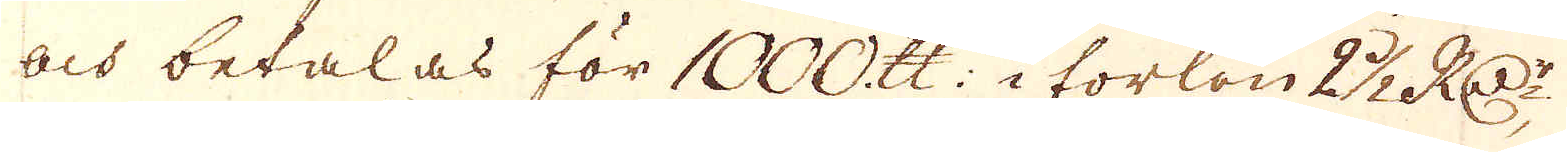och betalas för 1000. skålpund: i forlön 2 1/2 R:Dr
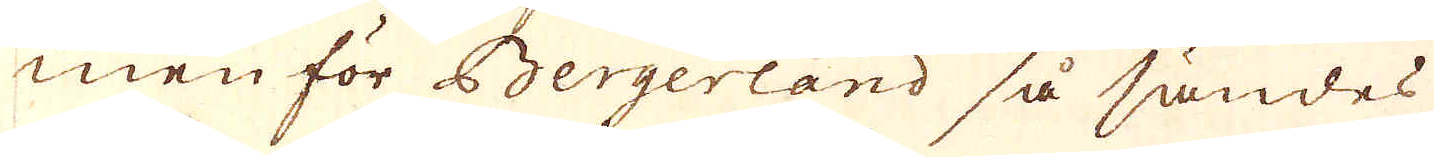men för Bergerland så sändes
